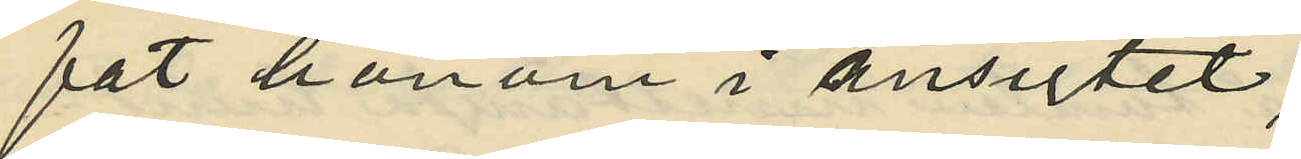fat honom i ansigtet;
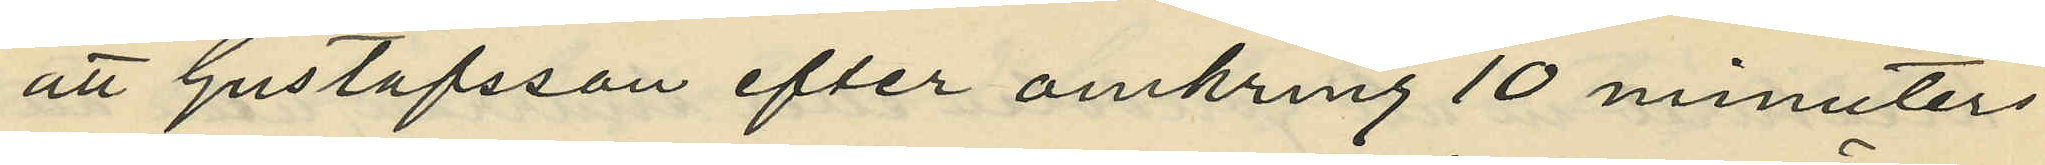att Gustafsson efter omkring 10 minuters
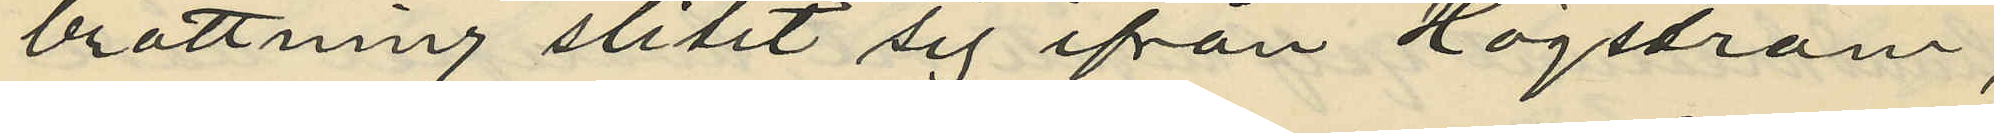brottning slitit sig ifrån Högström,
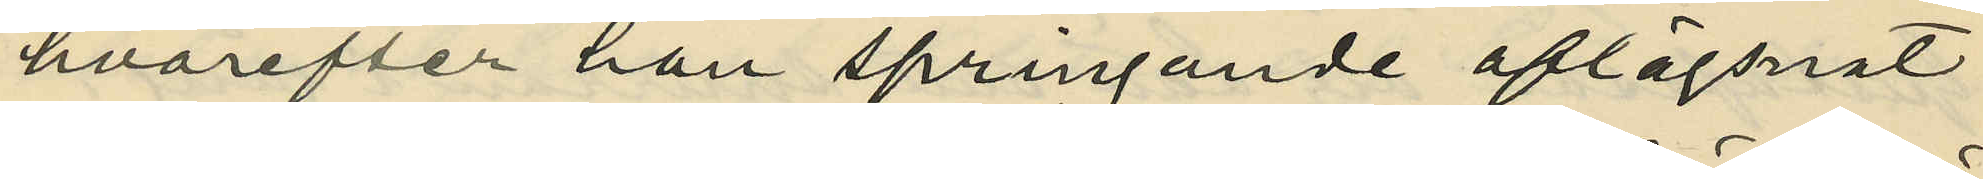hvarefter han springande aflägsnat
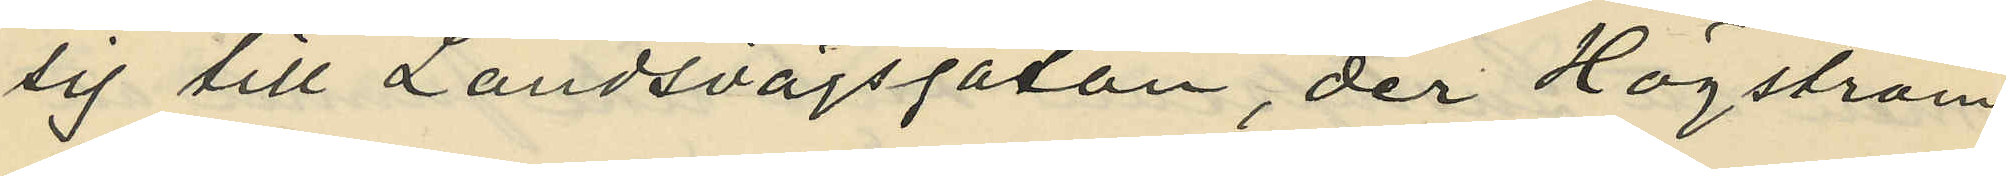sig till Landsvägsgatan, der Högström
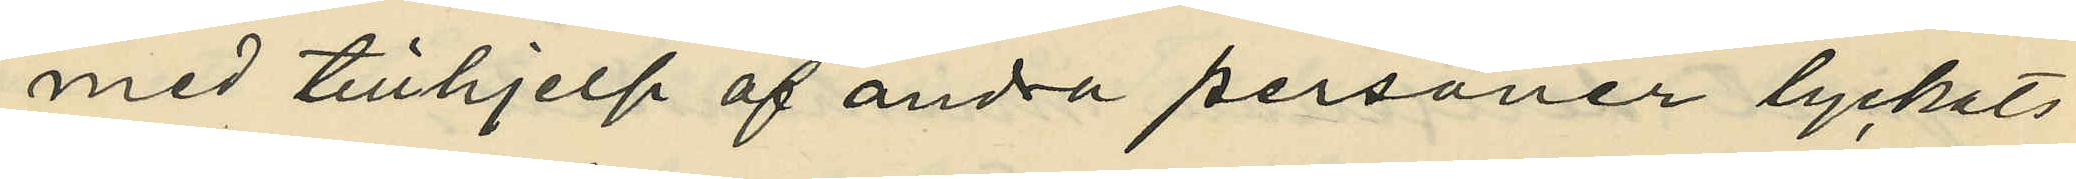med tillhjelp af andra personer lyckats
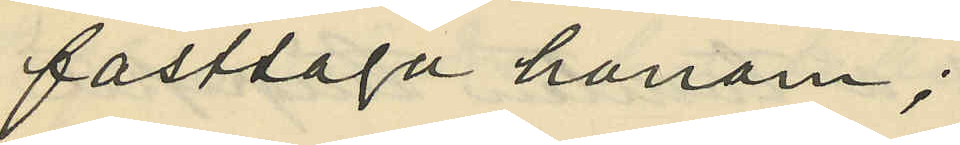fasttaga honom;
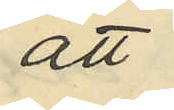att
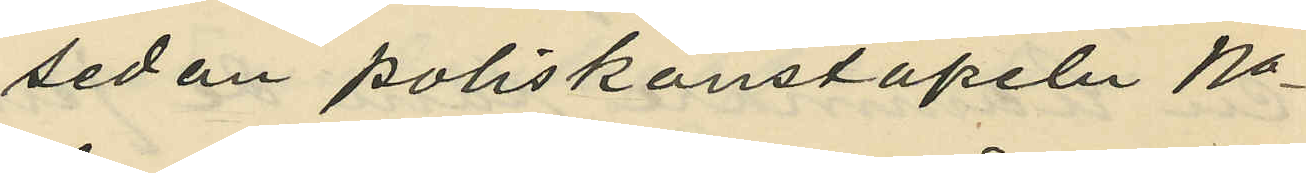sedan poliskonstapeln No
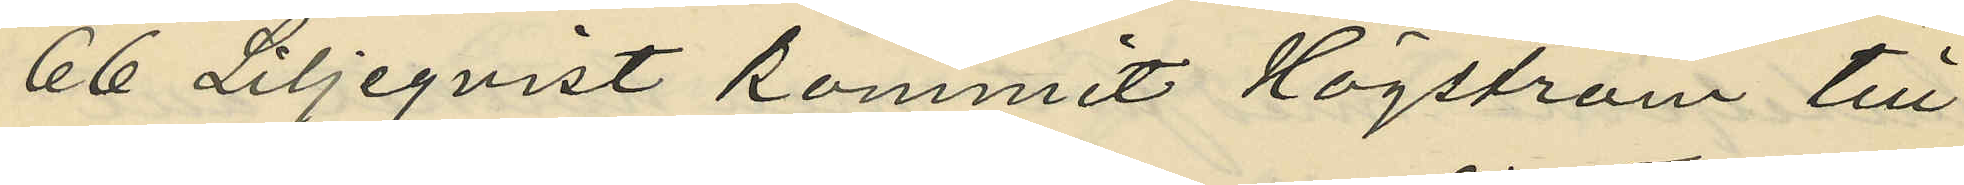66 Liljeqvist kommit Högström till
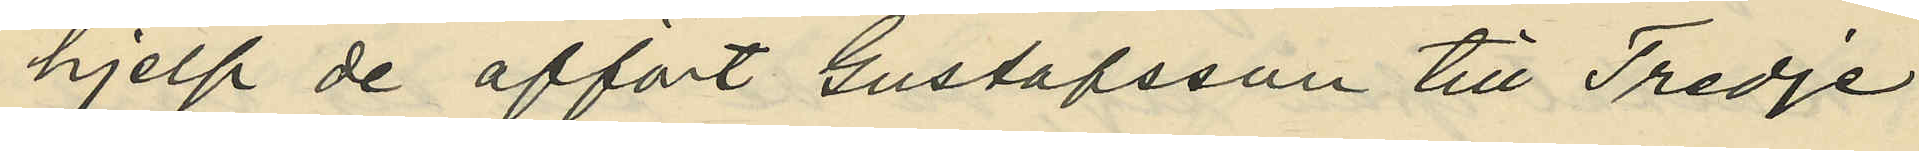hjelp de affört Gustafsson till Tredje
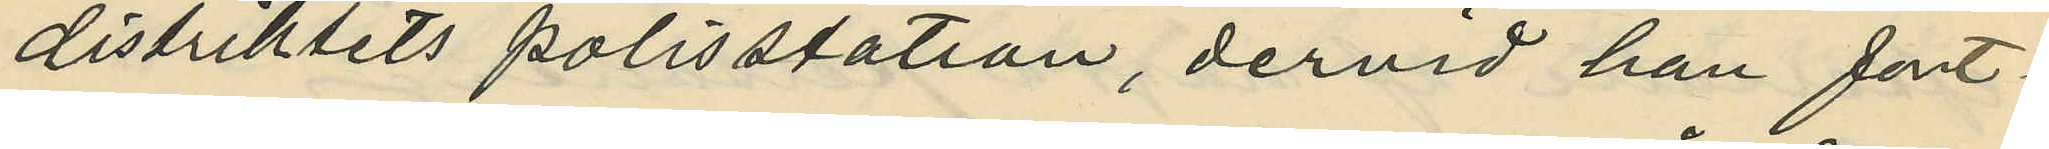distriktets polisstation, dervid han fort¬
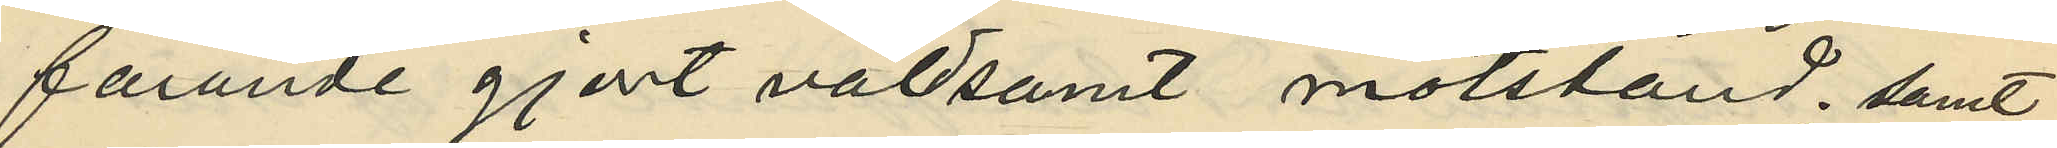farande gjort våldsamt motstånd samt
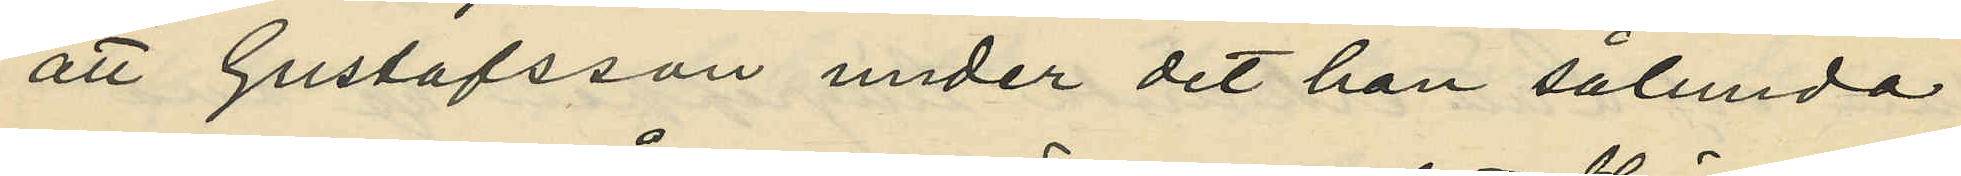att Gustafsson under det han sålunda
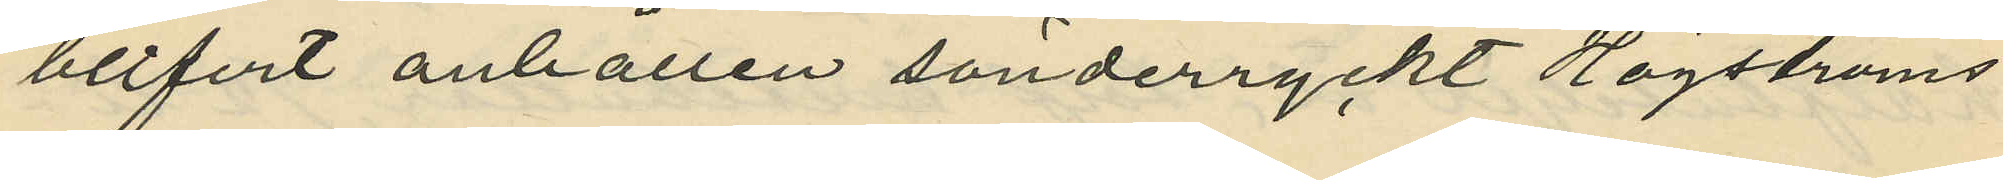blifvit anhållen sönderryckt Högströms
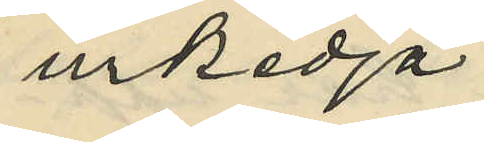urkedja.
